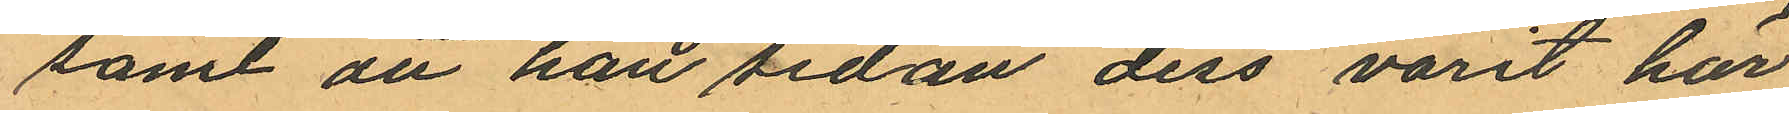samt att han sedan dess varit här
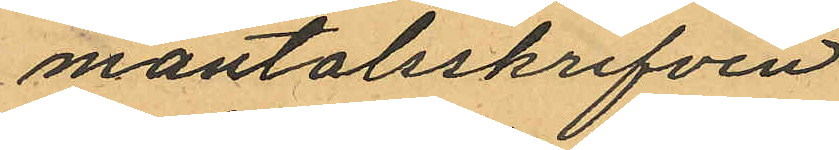mantalsskrifven.
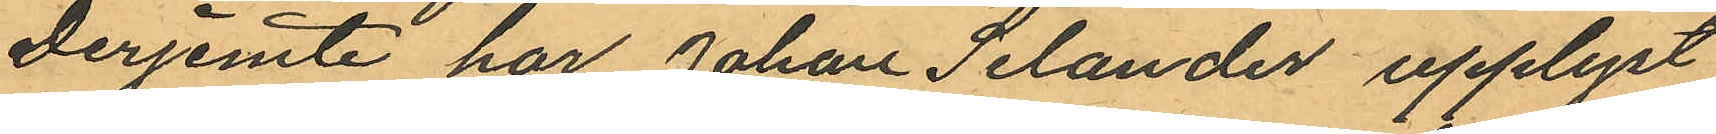Derjemte har Johan Selander upplyst
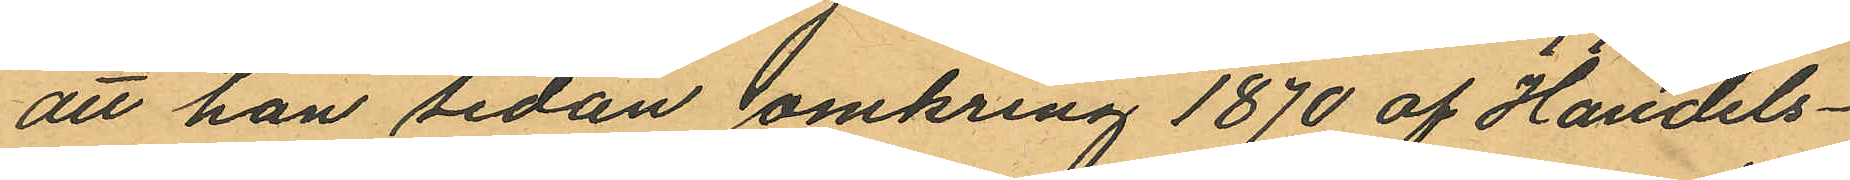att han sedan omkring 1870 af Handels¬
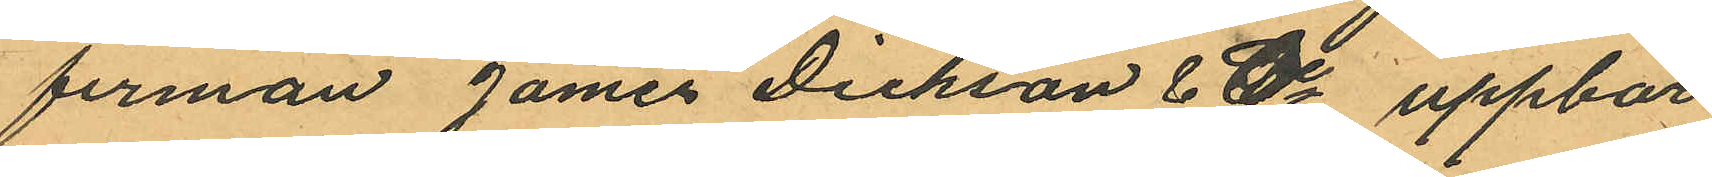firman James Dickson & Co uppbar
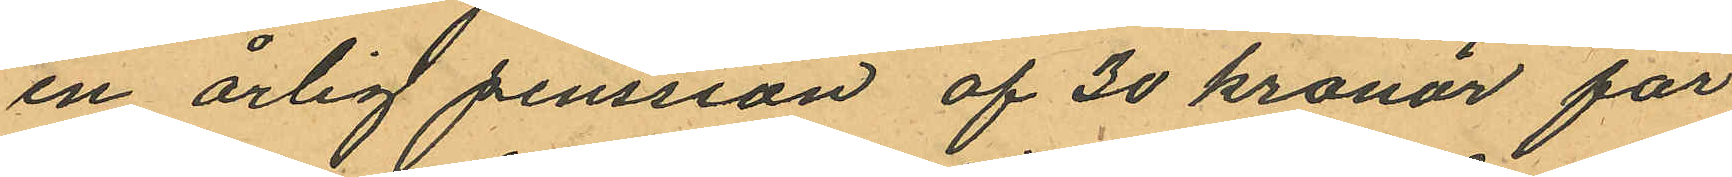en årlig penssion af 30 kronor för
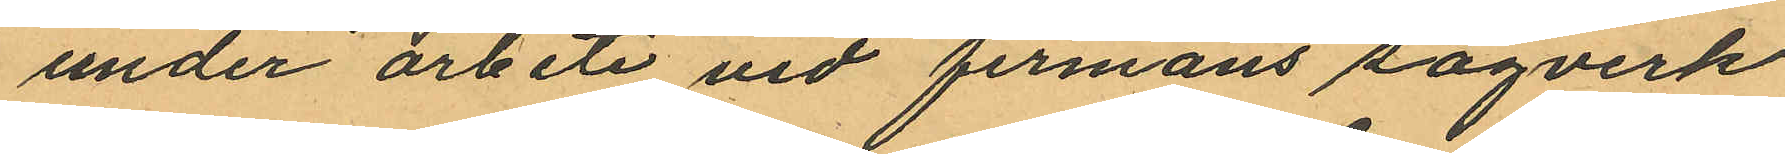under arbete vid firmans sågverk
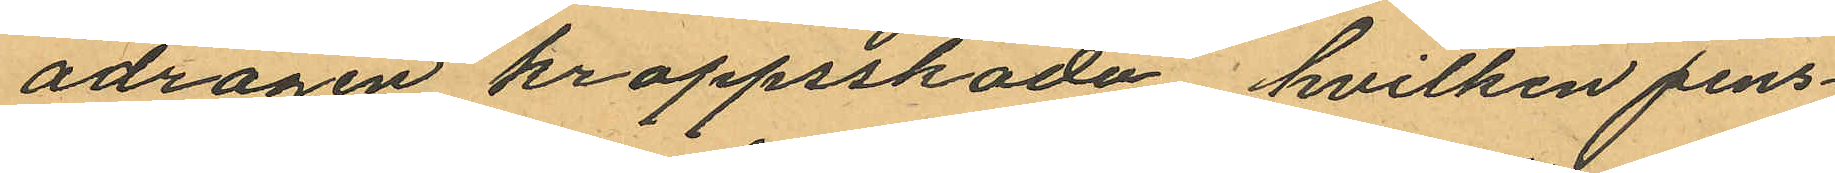ådragen kroppsskada, hvilken pens¬
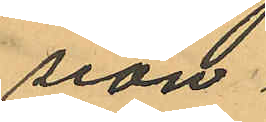sion
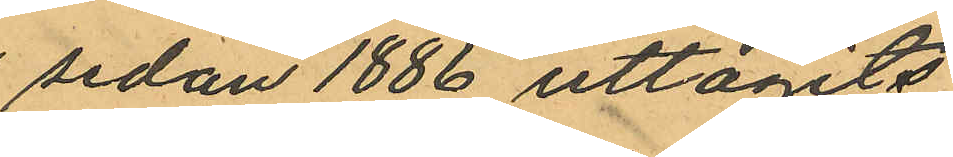sedan 1886 uttagits
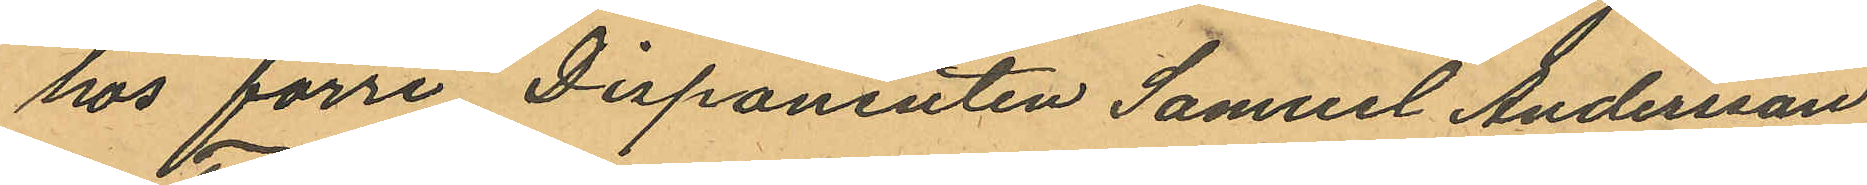hos förre Disponenten Samuel Andersson
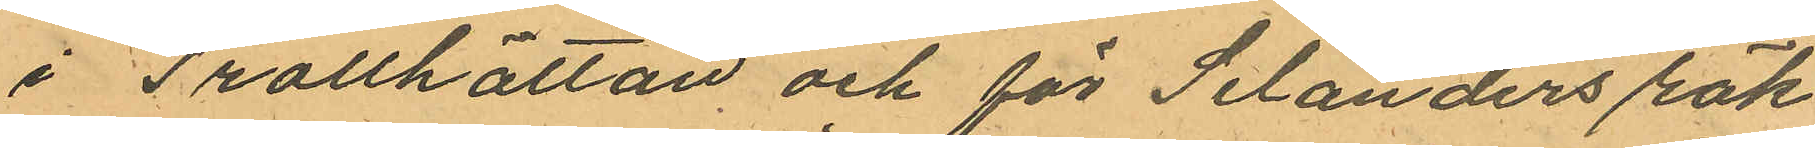i Trollhättan och för Selanders räk¬
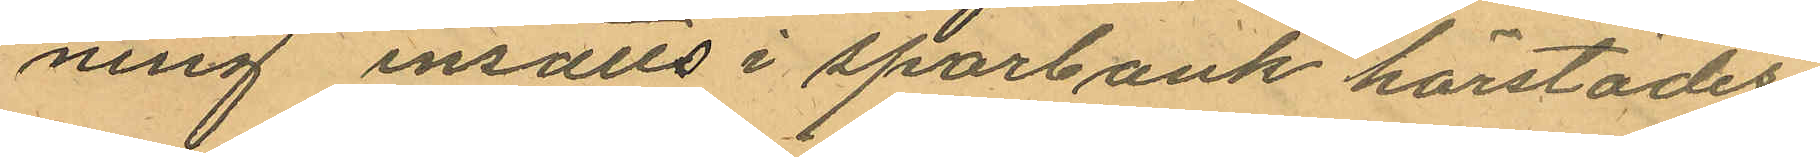ning insatts i sparbank härstädes;
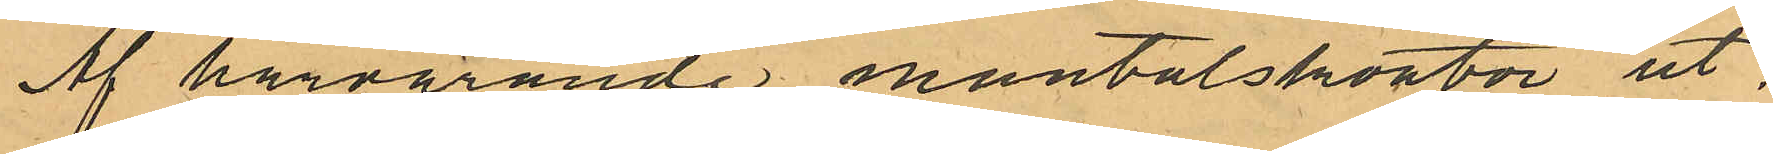Af härvarande mantalskontor ut.
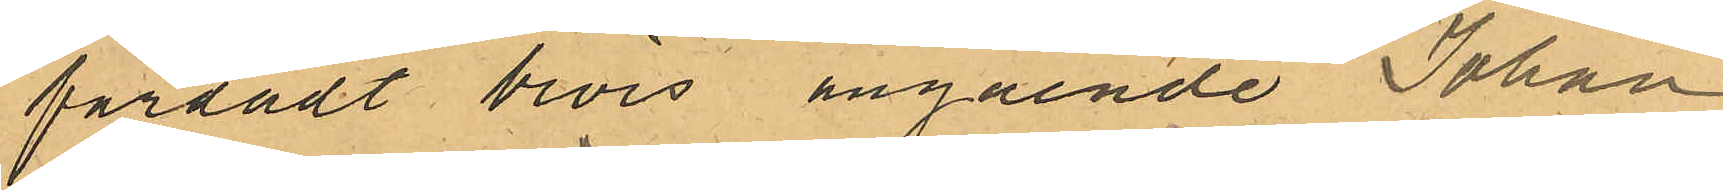färdadt bevis angående Johan
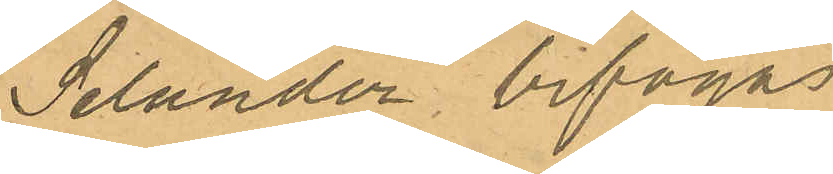Selander bifogas
